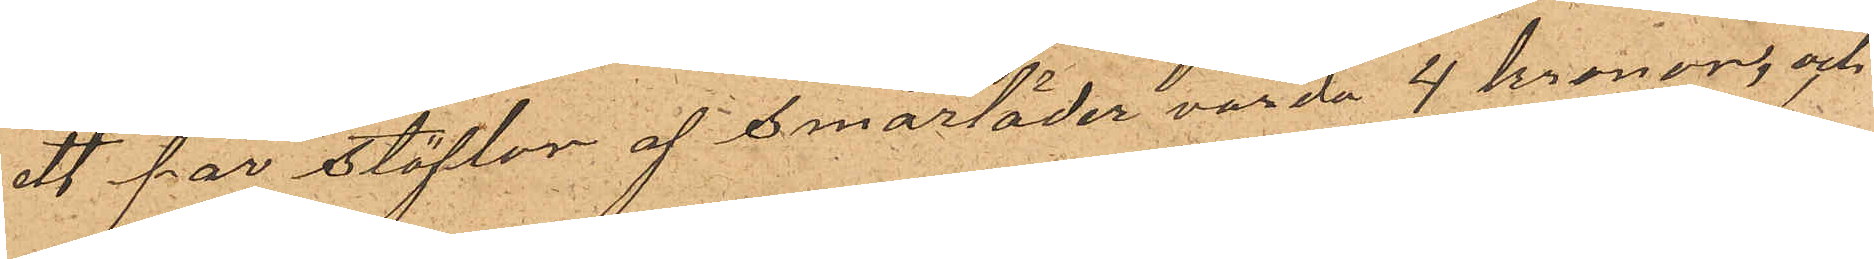ett par stöflar af smorläder värda 4 kronor, och
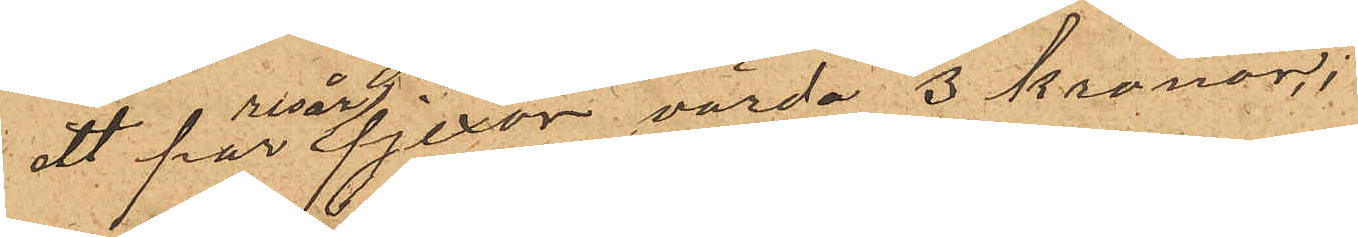ett par resårpjexor, värda 3 kronor;
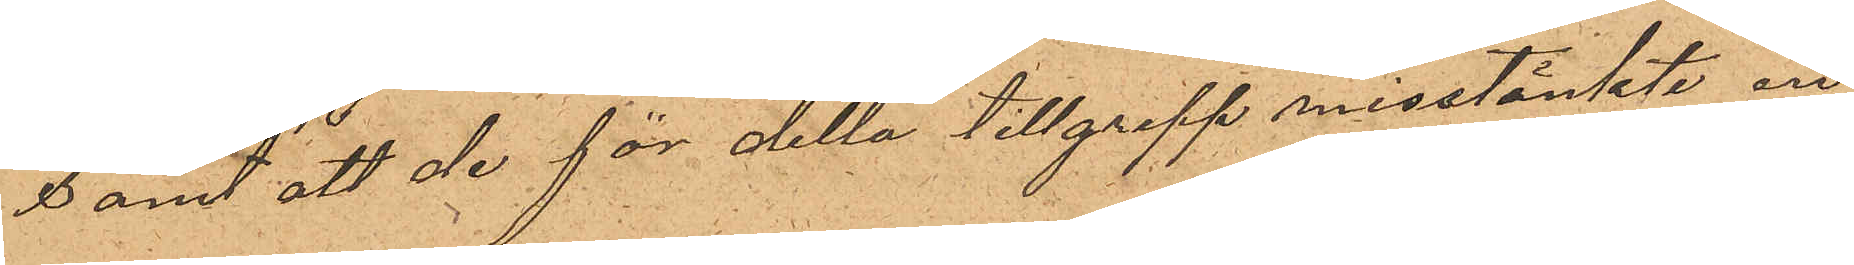samt att de för delta tillgrepp misstänkte äro
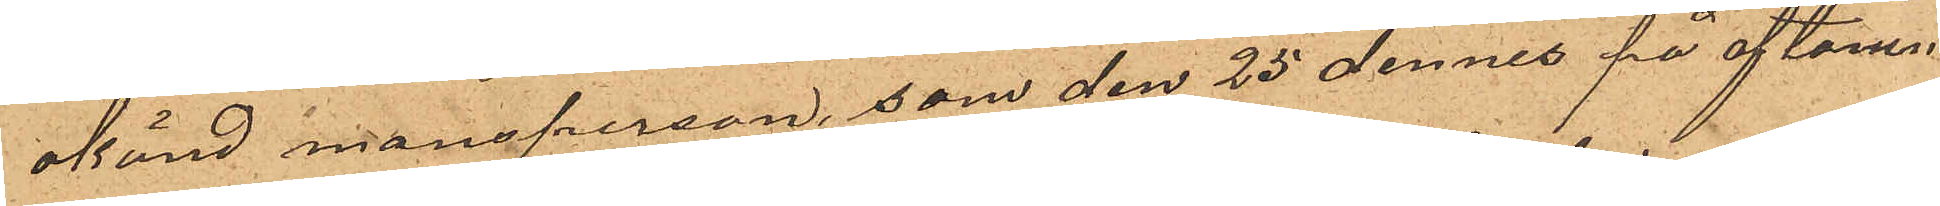okänd mansperson, som den 25 dennes på aftonen
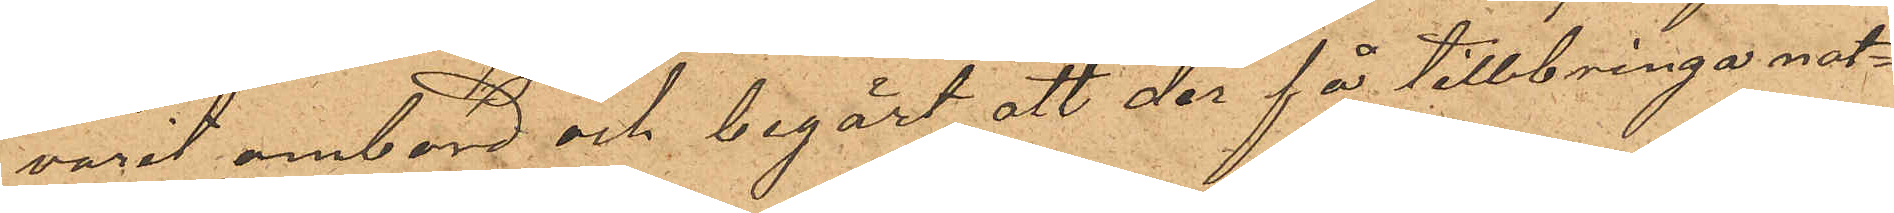varit ombord och begärt att der få tillbringa nat¬
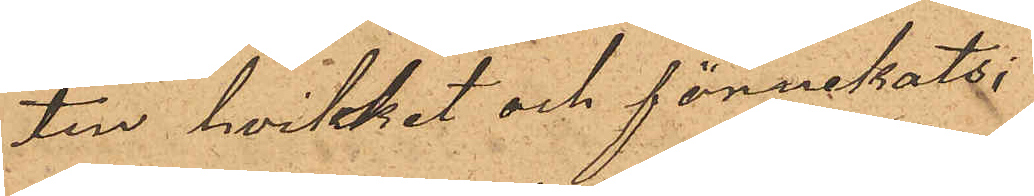ten, hvilket och förnekats;
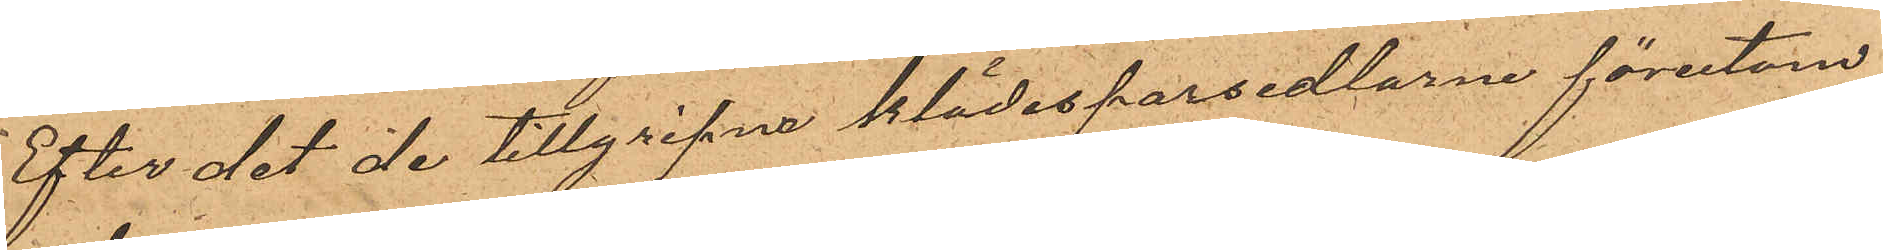Efter det de tillgripne klädespersedlarne förutom
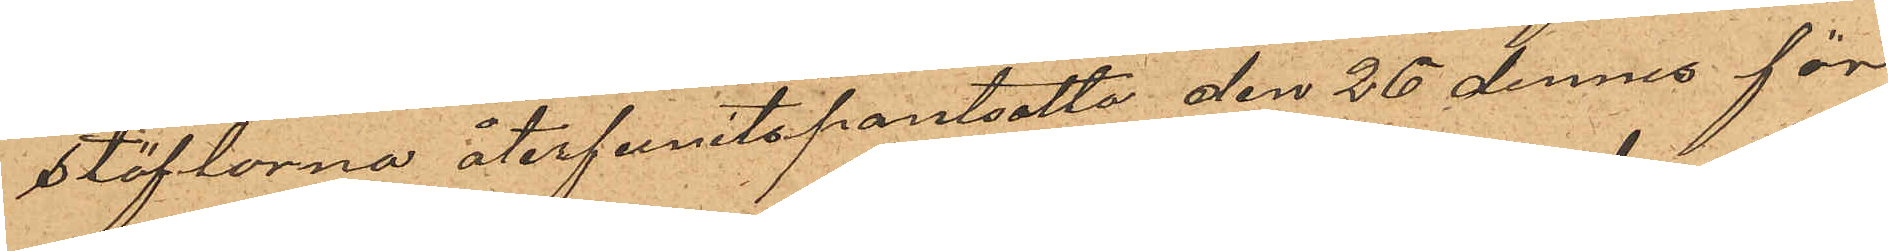stöflorna återfunits pantsatta den 26 dennes för
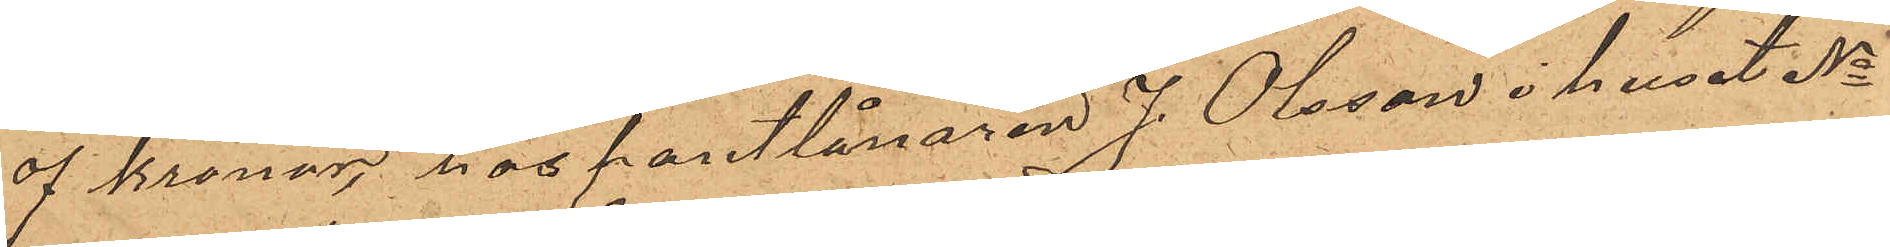4 kronor, hos pantlånaren J. Olsson i huset No
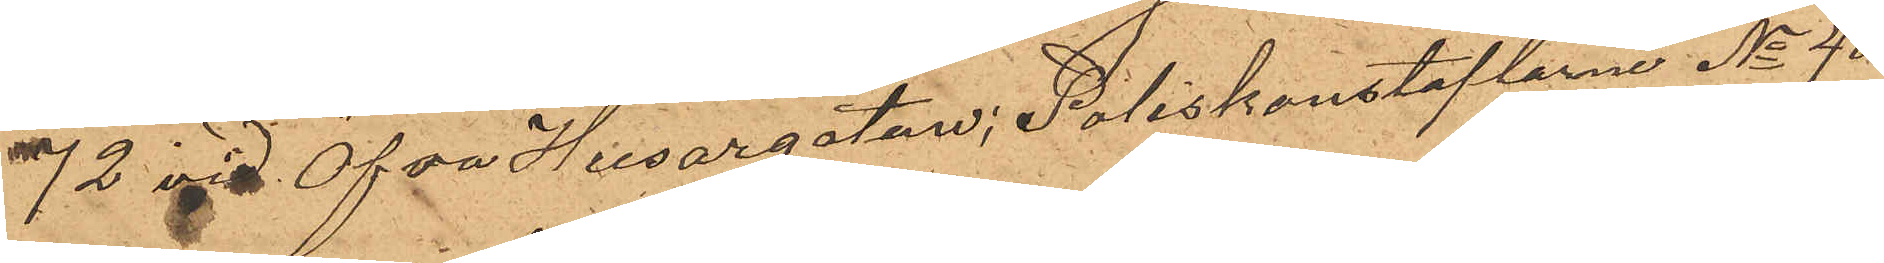72 vid Öfra Husargatan; Poliskonstaplarne No 40
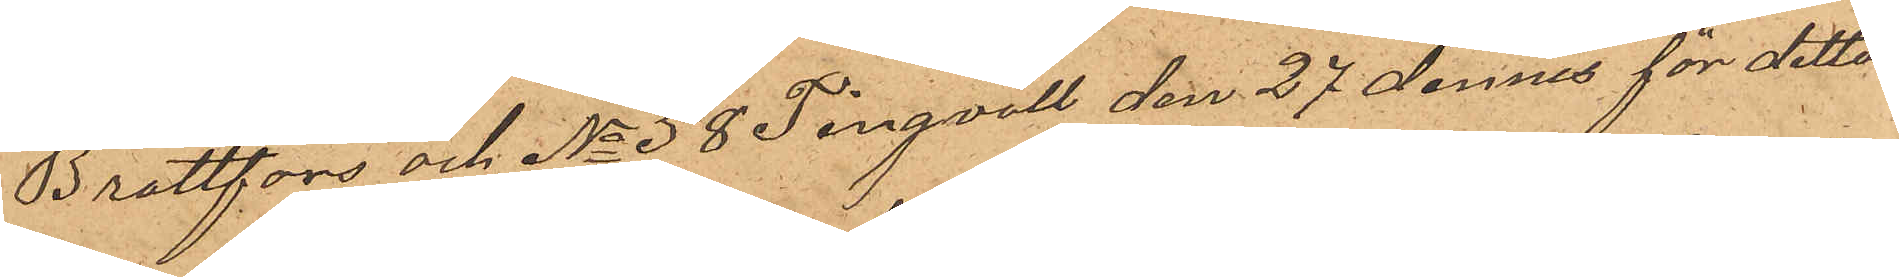Brattfors och No 58 Tingvall den 27 dennes för detta
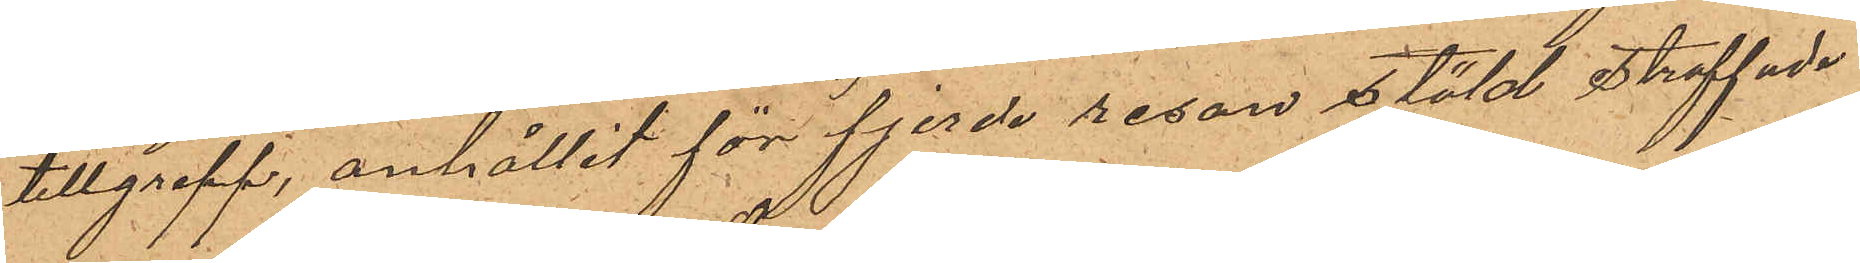tillgrepp, anhållit för fjerde resan stöld straffade
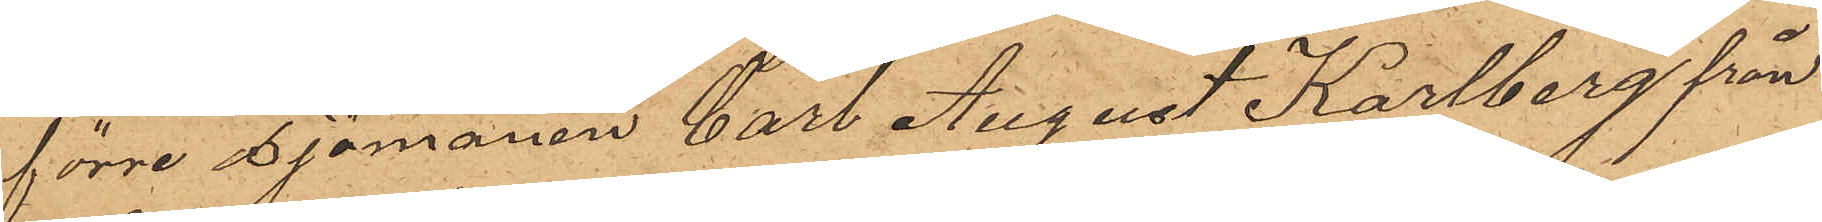förre sjömanen Carl August Karlberg från
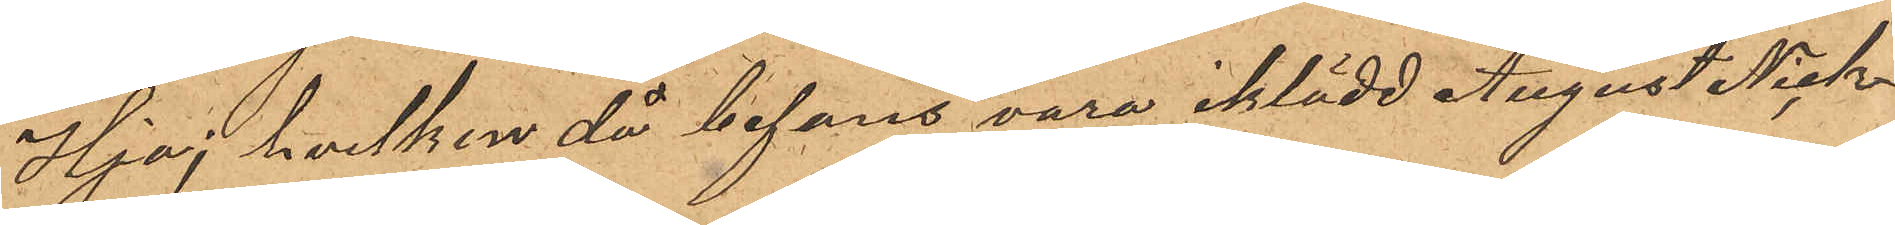Hjo; hvilken då befans vara iklädd August Nick¬
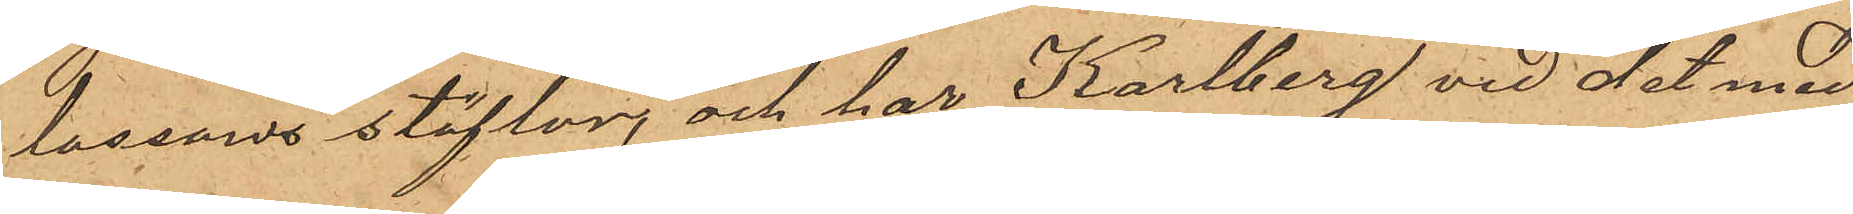lassons stöflor, och har Karlberg vid det med
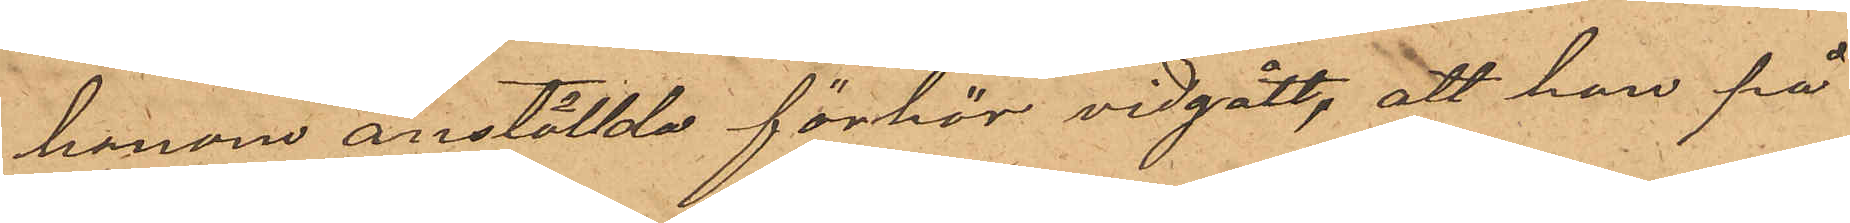honom anställda förhör vidgått, att han på
